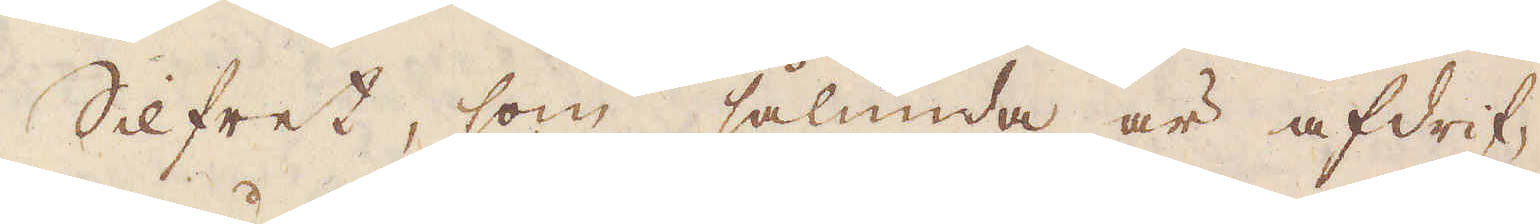Silfret, som sålunda är afdrif-
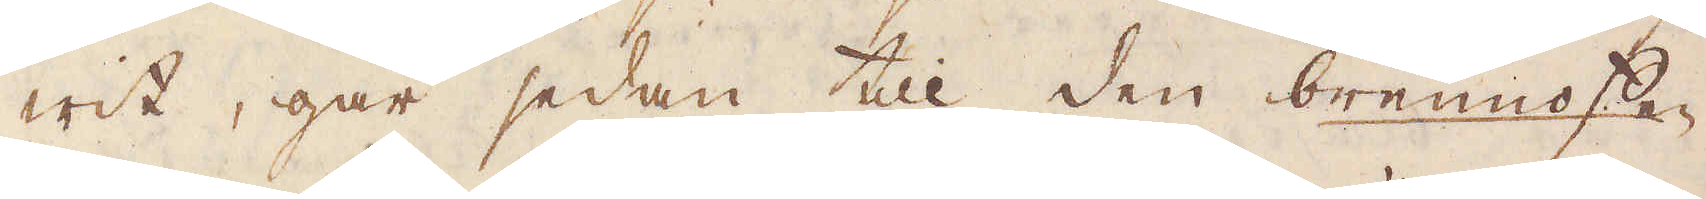wit, går sedan till den brennofen
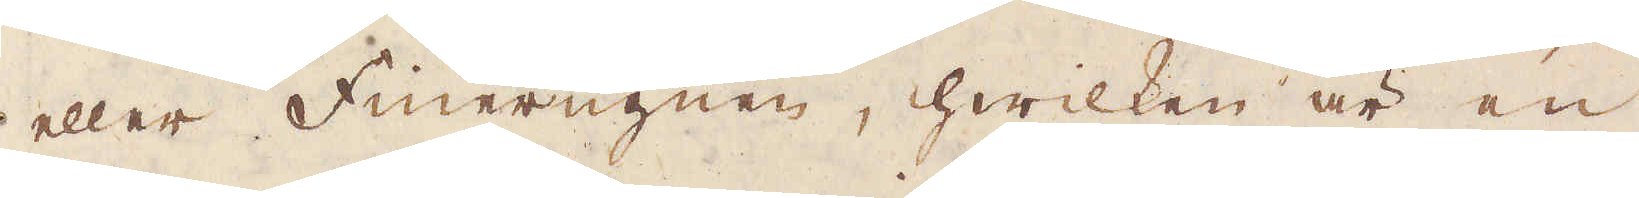eller Finerugnen, hwilken är en
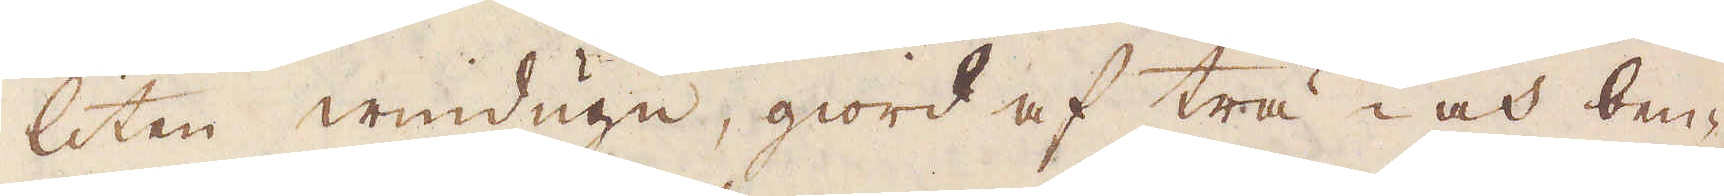liten windugn, giord af trä- och ben-
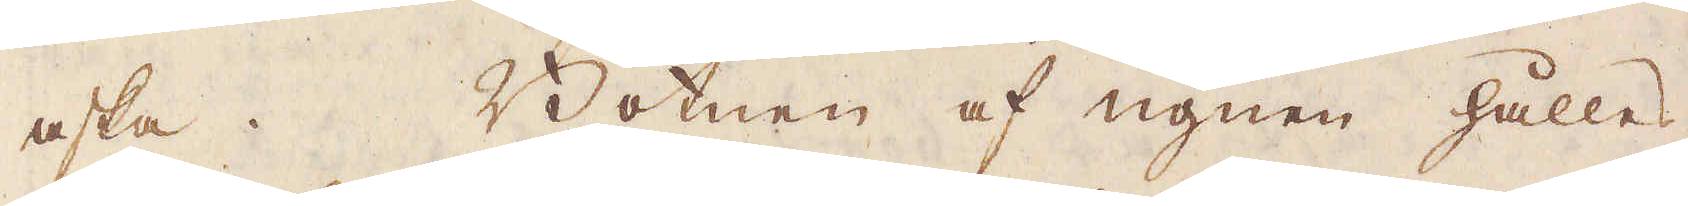aska. Botnen af ugnen hålles
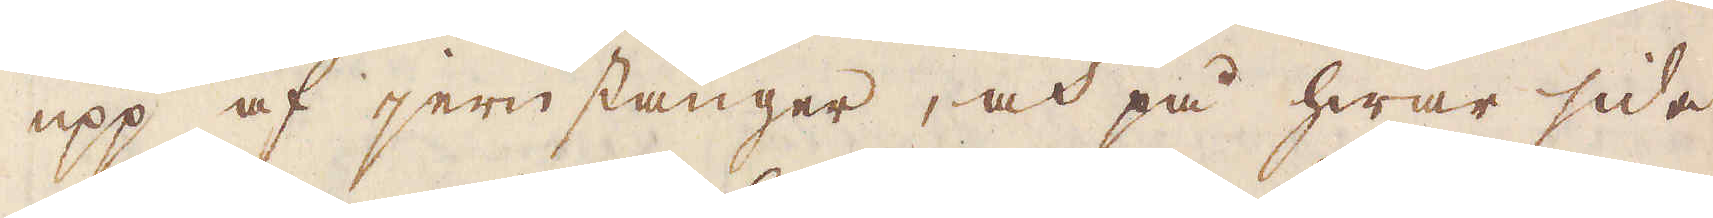upp af jernstänger, och på hwar sida
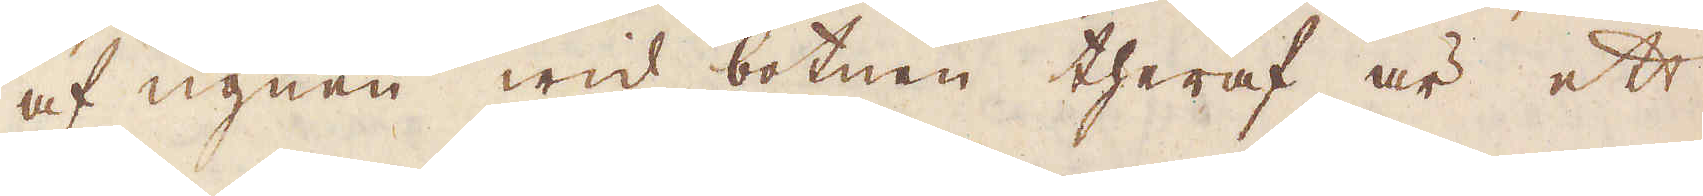af ugnen wid botnen theraf är ett
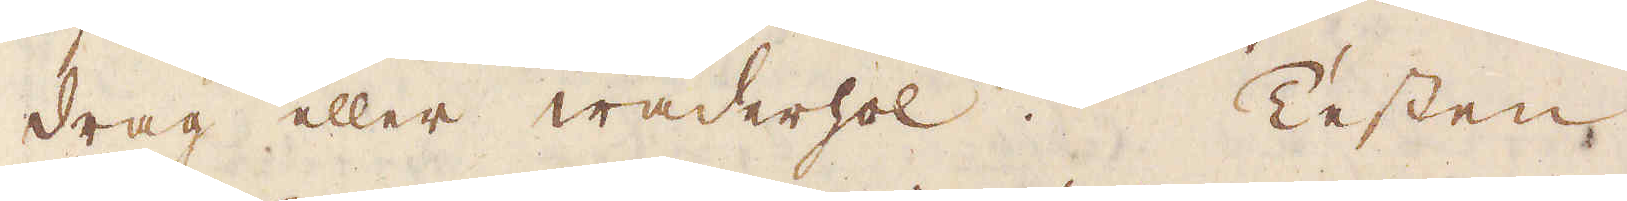drag eller wäderhol. Testen
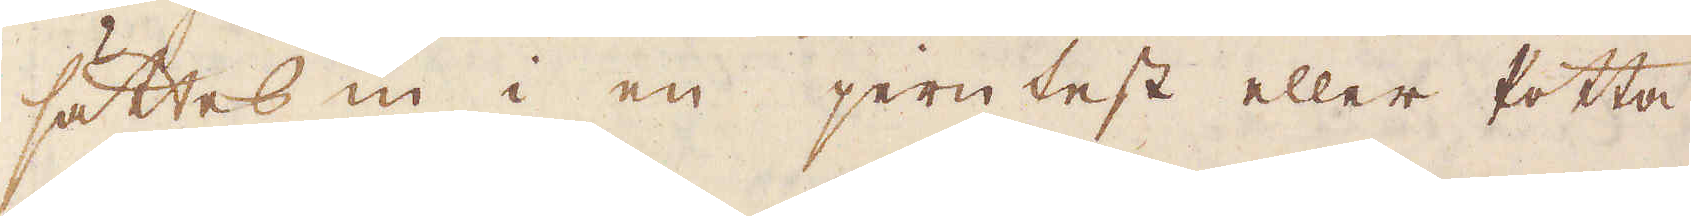sättes in i en jerntest eller Potta
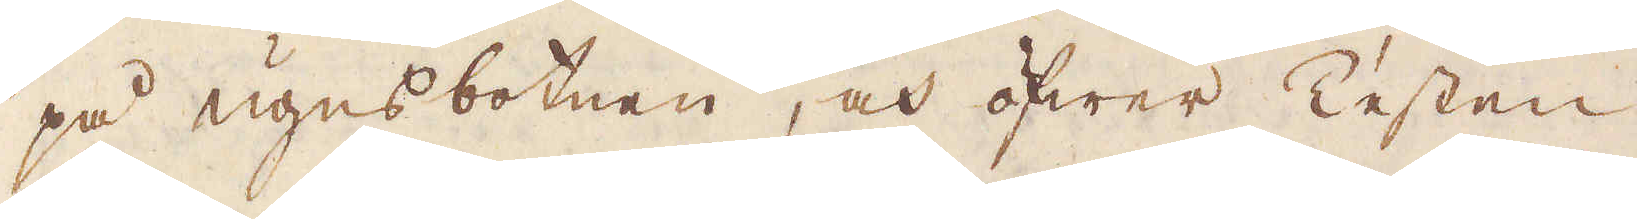på ugnsbotnen, och öfwer Testen
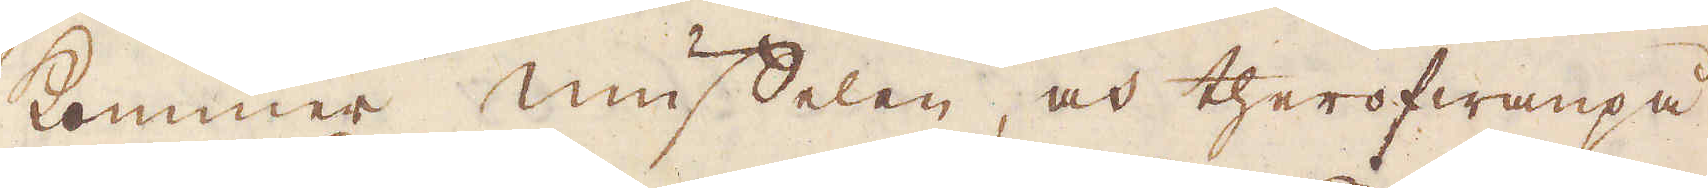kommer muffelen, och therofwanpå
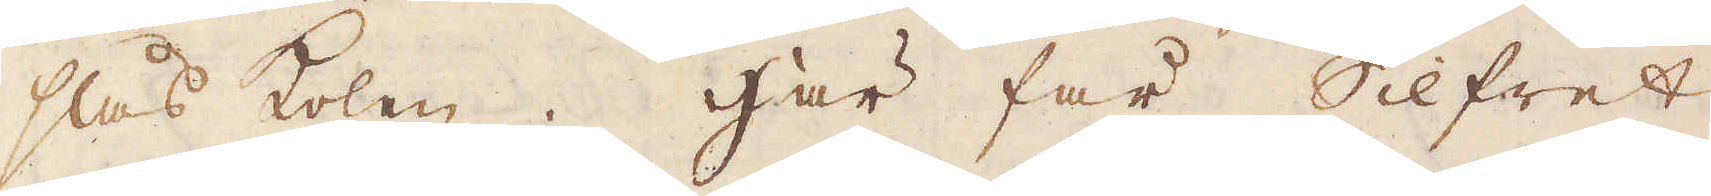slås kolen. Här får Silfret
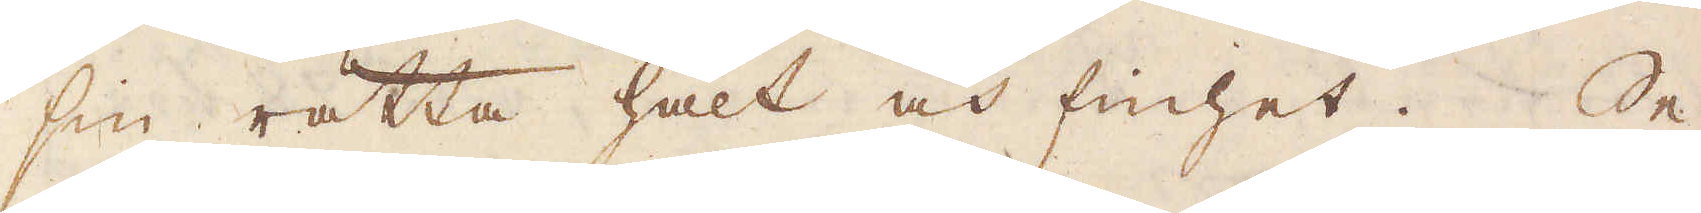sin rätta halt och finhet. Se
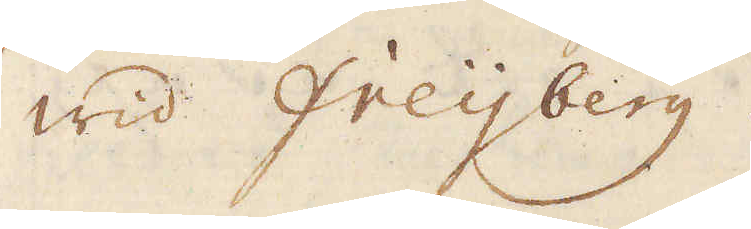wid Freyberg.
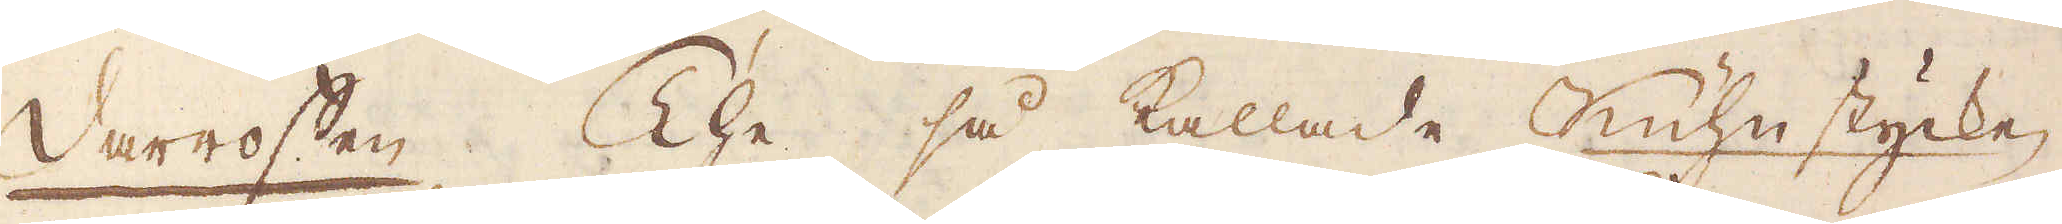Darrofen. The så kallade Kühn stycke,
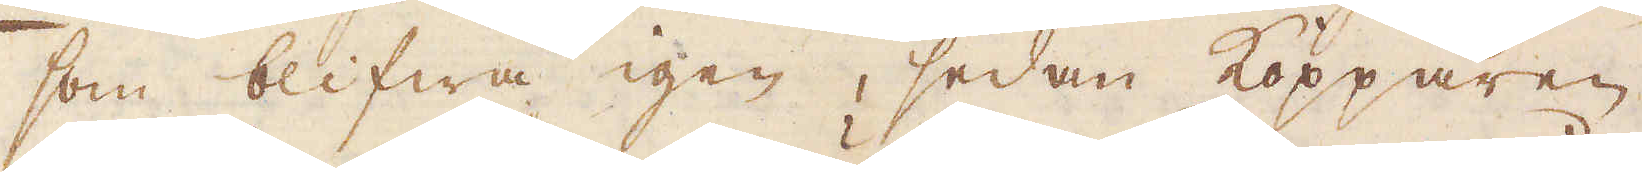som blifwa igen, sedan Kopparen
